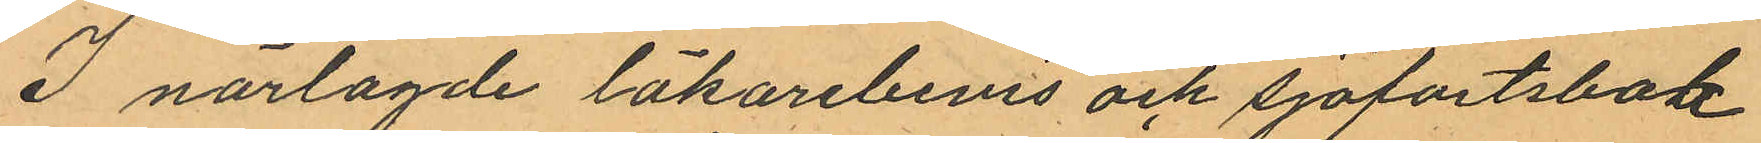I närlagde läkarebevis och sjöfartsbok
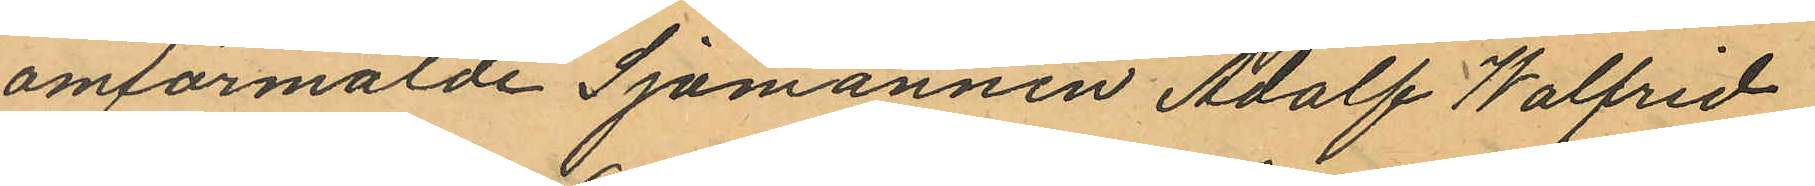omförmälde Sjömannen Adolf Walfrid
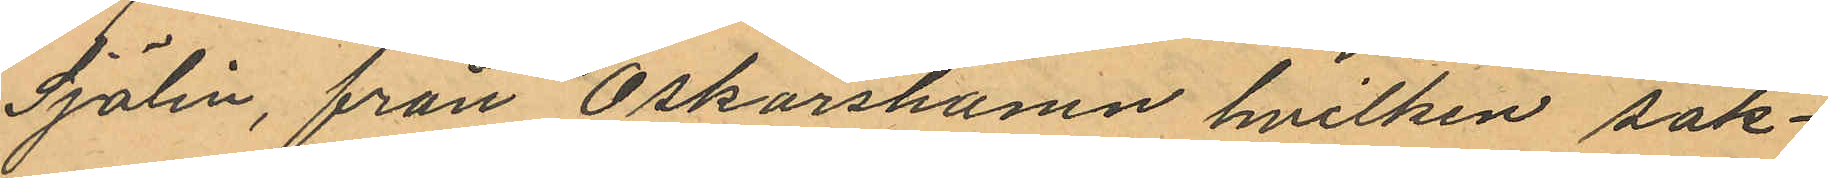Sjölin, från Oskarshamn hvilken sak¬
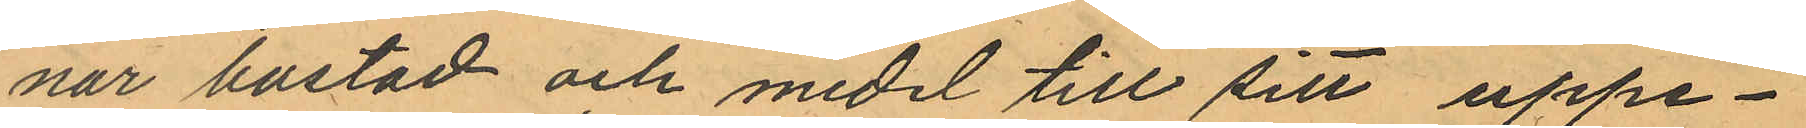nar bostad och medel till sitt uppe¬
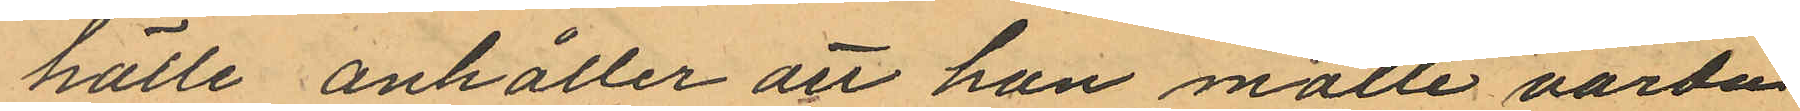hälle anhåller att han måtte varda
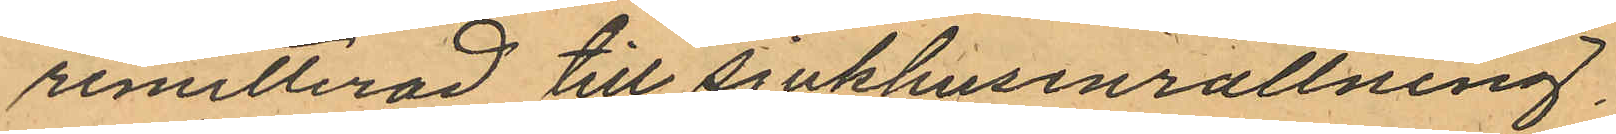remitterad till sjukhusinrättning,
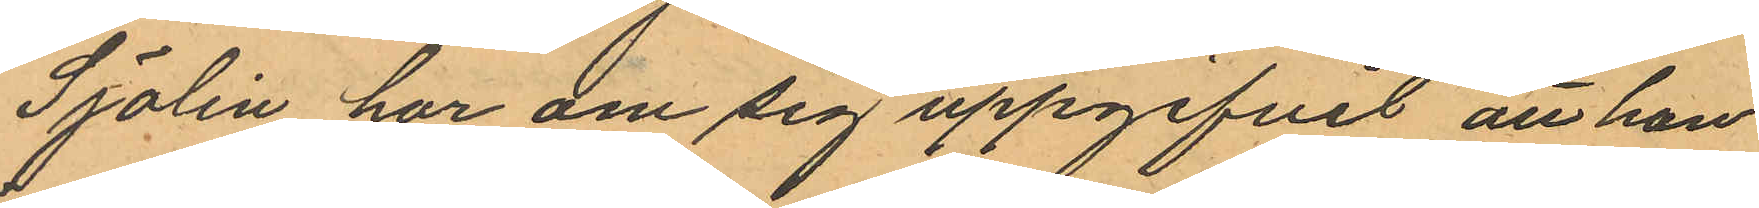Sjölin har om sig uppgifvit att han
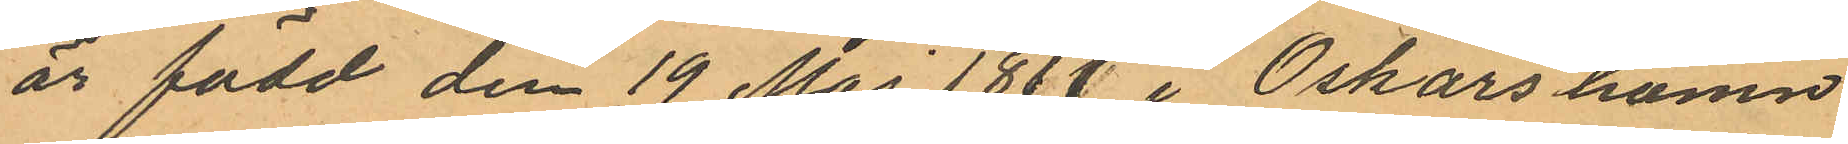är född den 19 Maj 1871 i Oskarshamn
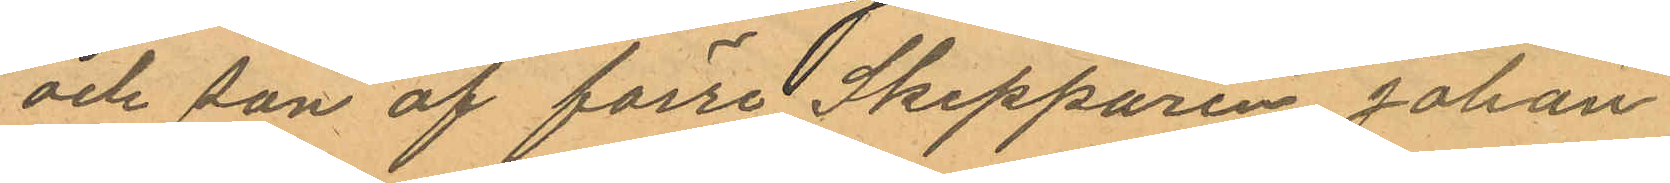och son af förre Skepparen Johan
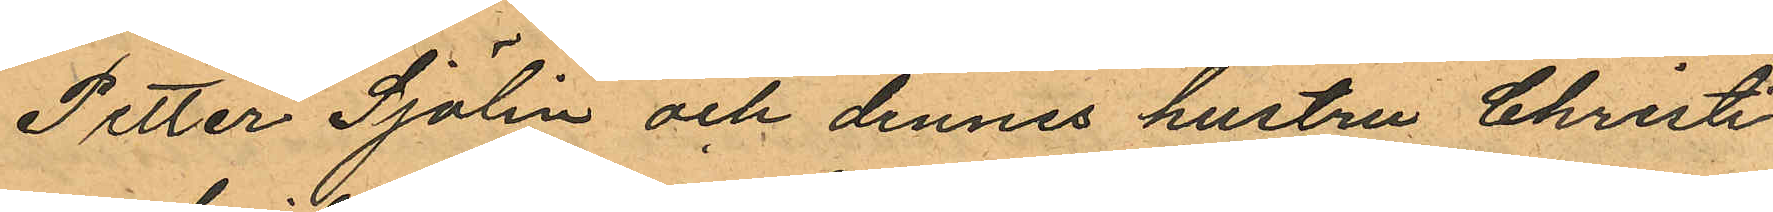Petter Sjölin och dennes hustru Christi
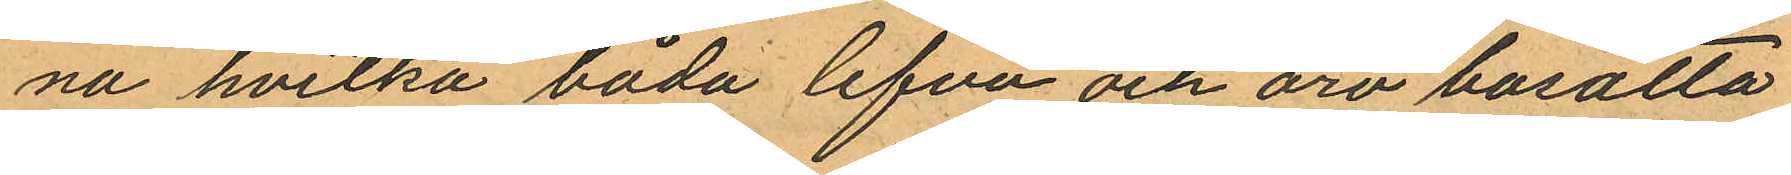na hvilka båda lefva och äro bosatta
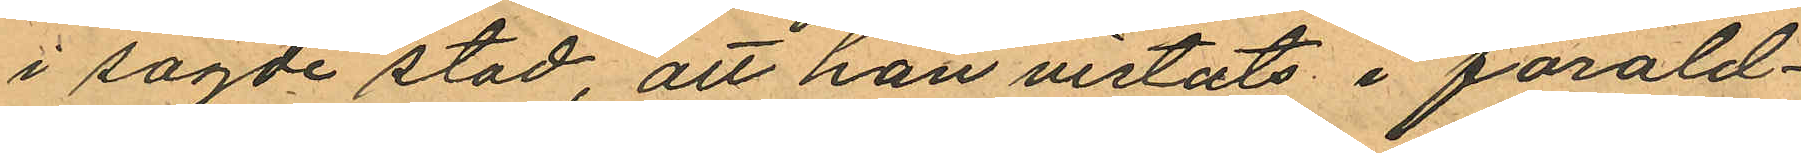i sagde stad, att han vistats i föräld¬
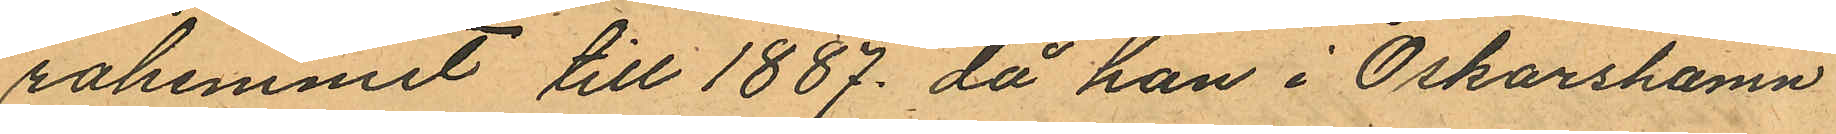rahemmet till 1887, då han i Oskarshamn
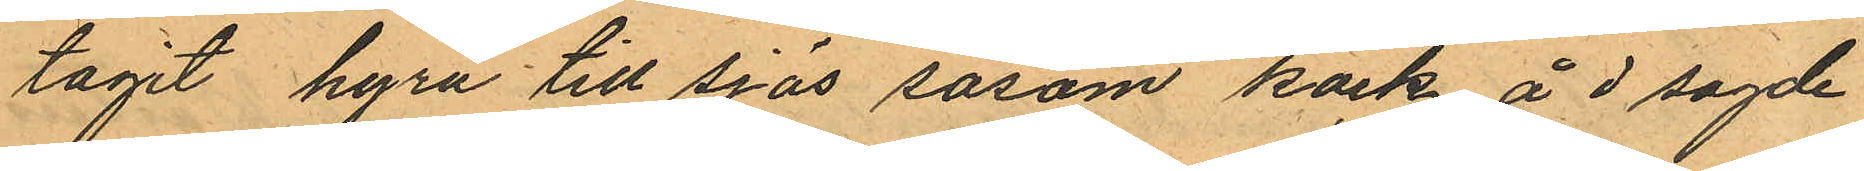tagit hyra till sjös såsom kock å d sagde
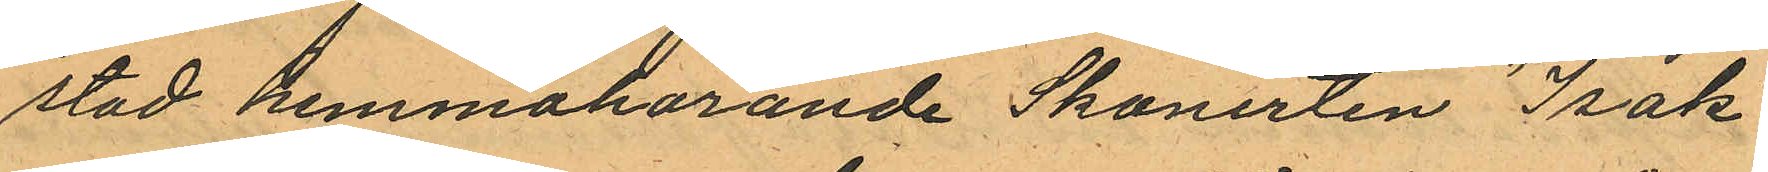stad hemmahörande Skonerten "Isak"
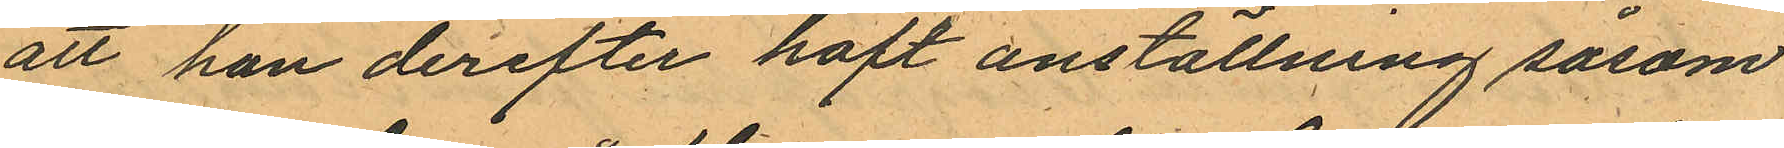att han derefter haft anställning såsom
